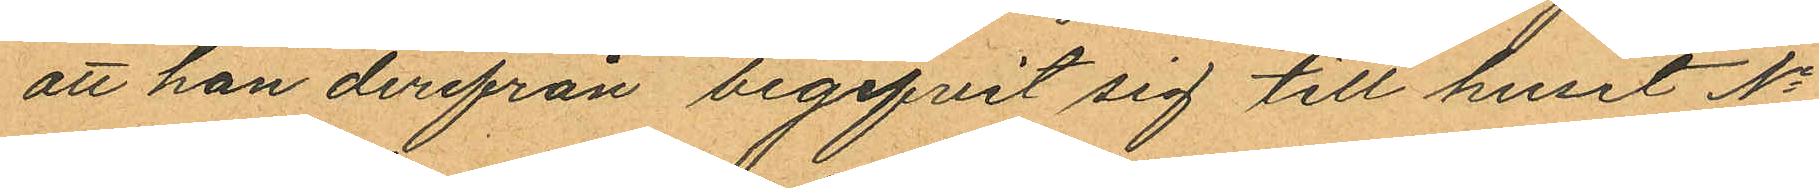att han derifrån begifvit sig till huset No
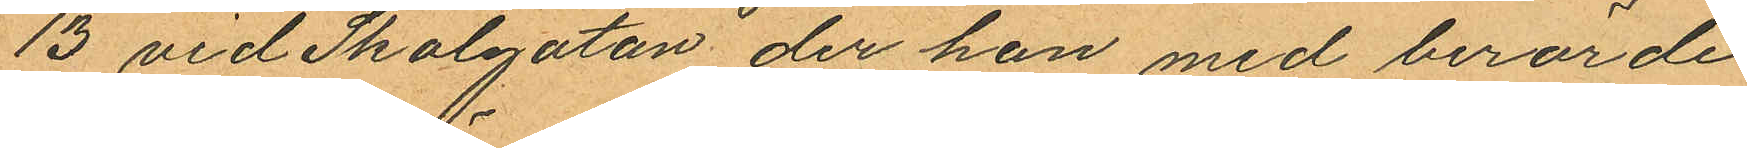13 vid Skolgatan der han med berörde
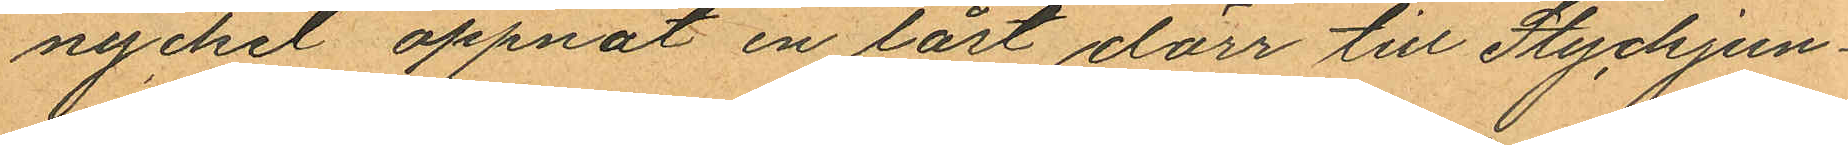nyckel öppnat en låst dörr till Styckjun¬
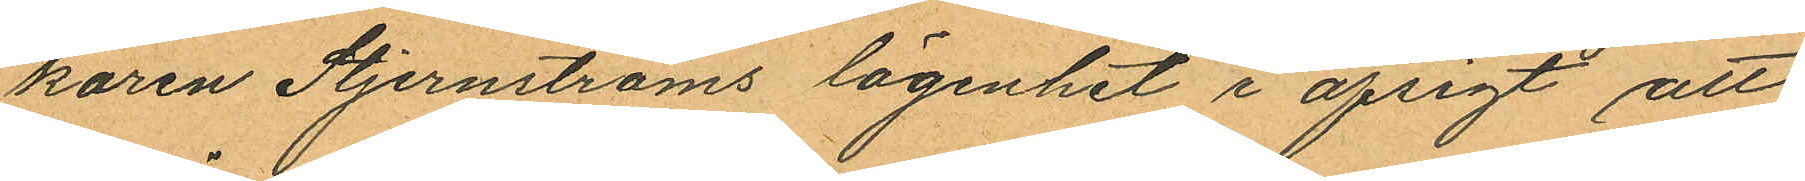karen Stjernströms lägenhet i afsigt att
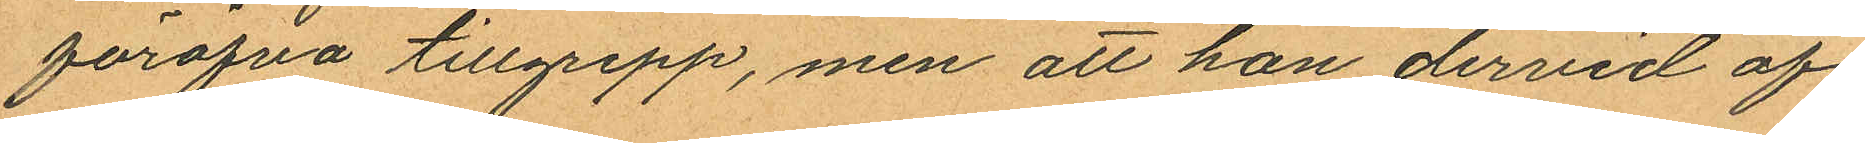föröfva tillgrepp, men att han dervid af
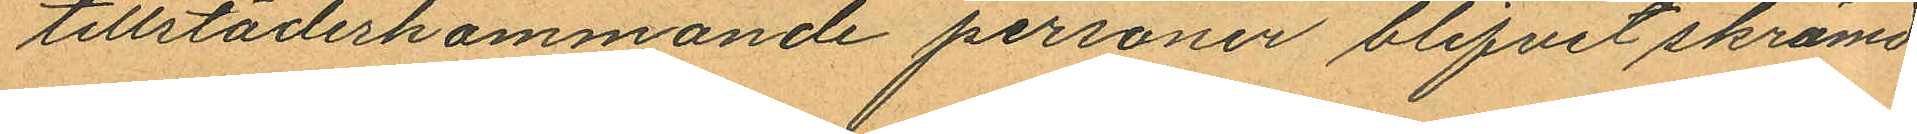tillstädeskommande personer blifvit skrämd
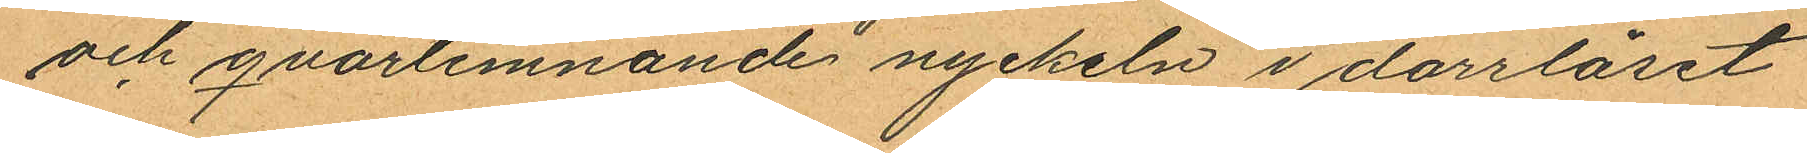och qvarlemnande nyckeln i dörrlåset
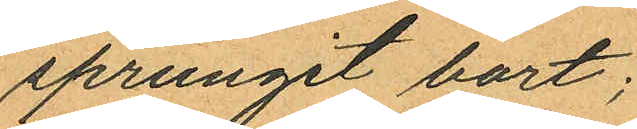sprungit bort;
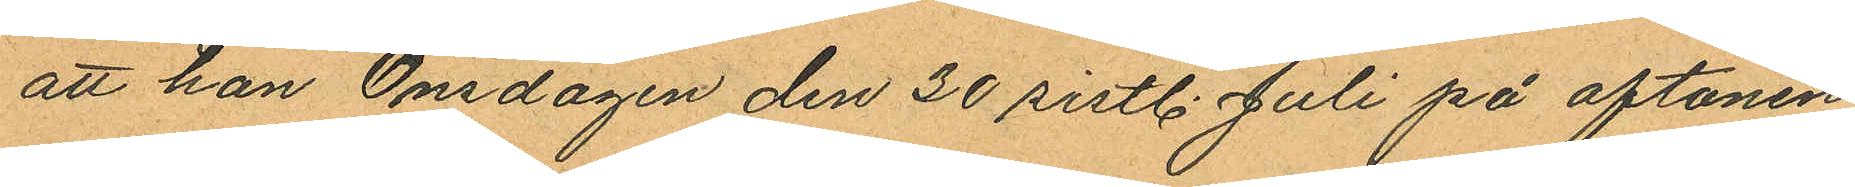att han Onsdagen den 30 sistl. Juli på aftonen
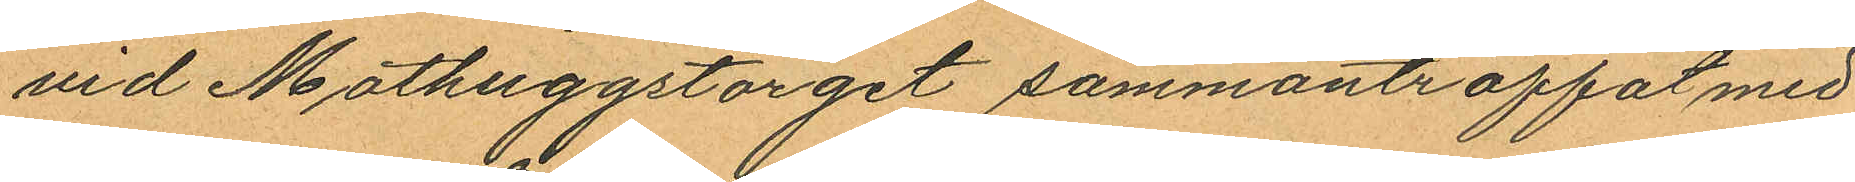vid Mathuggstorget sammanträffat med
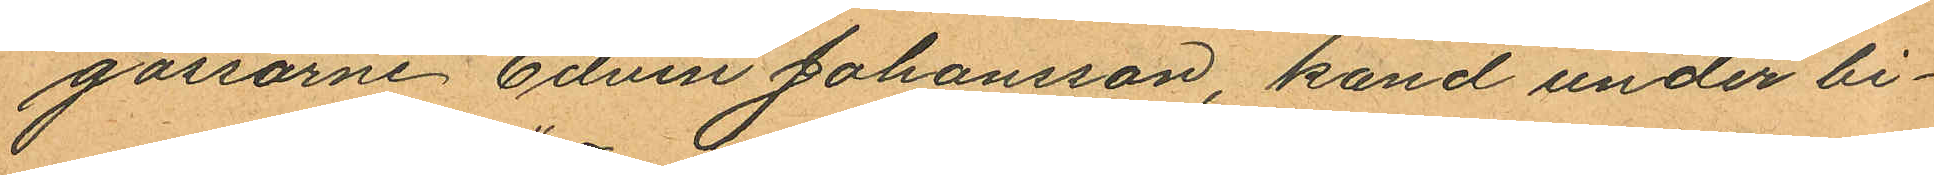gossarne Edvin Johansson, kand under bi¬
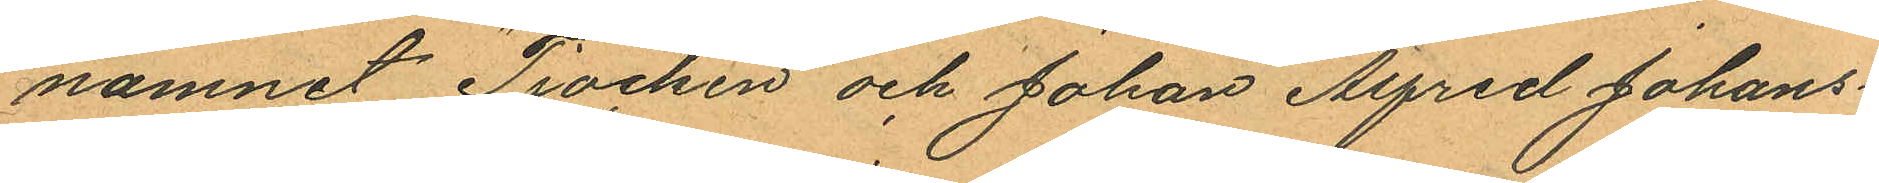namnet "Tjocken" och Johan Alfred Johans¬
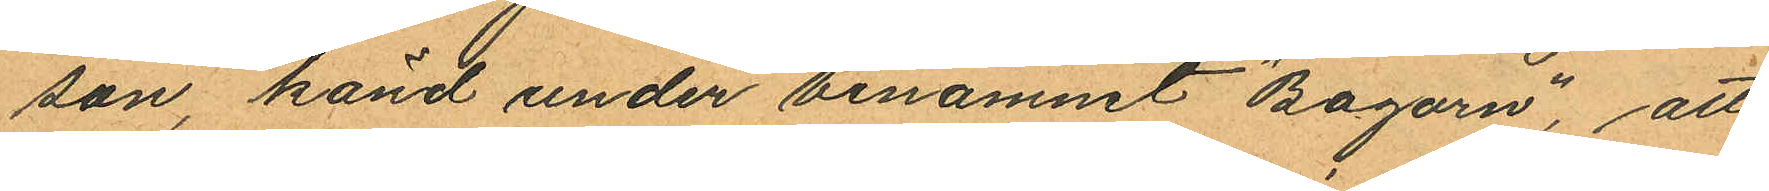son, känd under binamnet "Bagarn", att
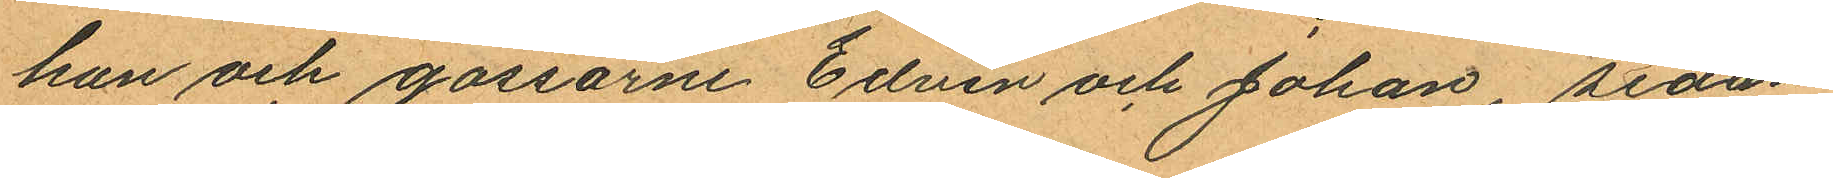han och gossarne Edvin och Johan, sedan
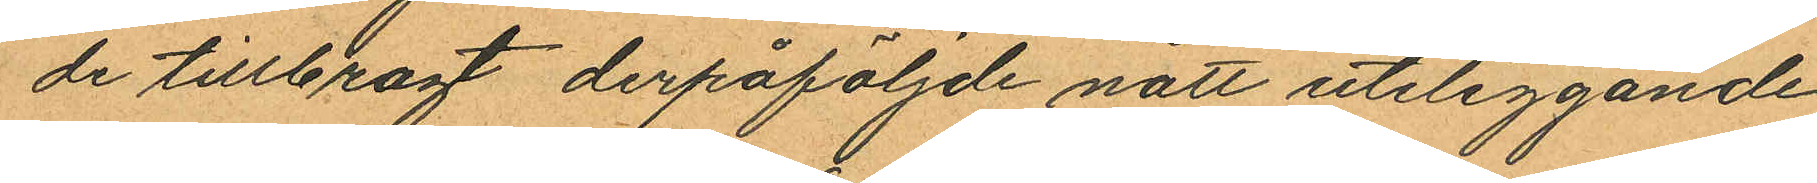de tillbragt derpåföljde natt utliggande
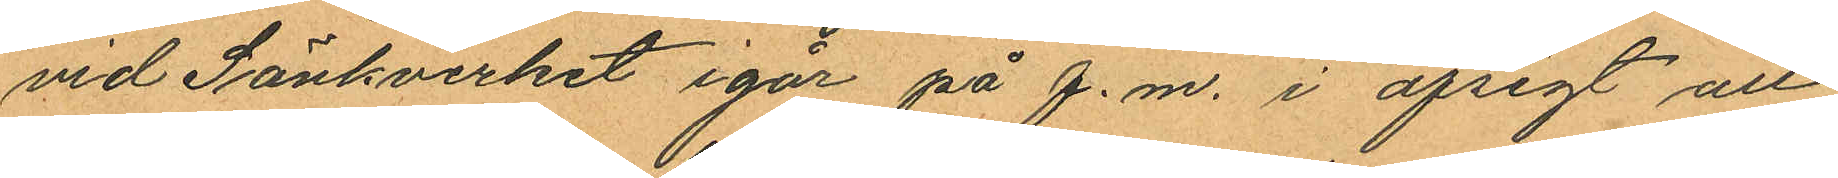vid Sänkverket igår på f.m. i afsigt att
